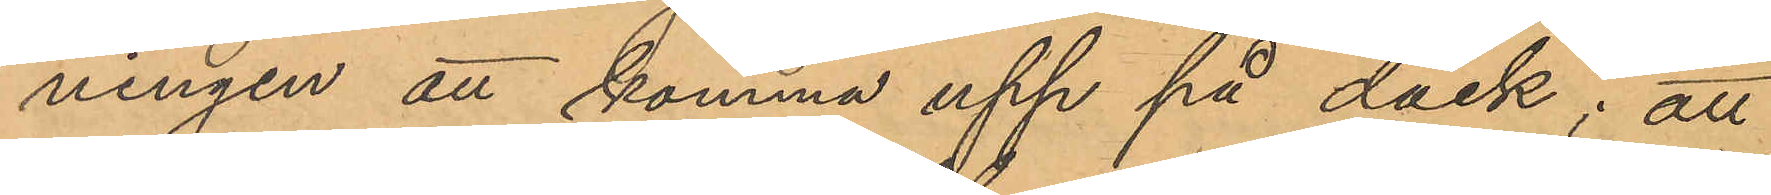ningen att komma upp på däck; att
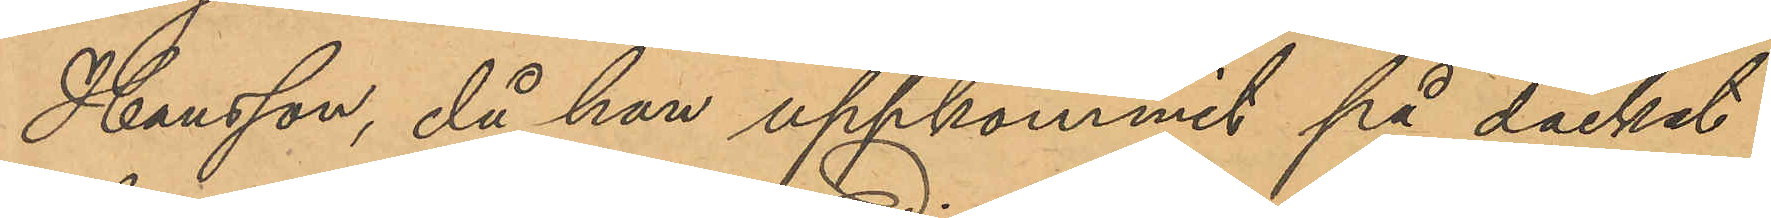Hansson, då han uppkommit på däcket
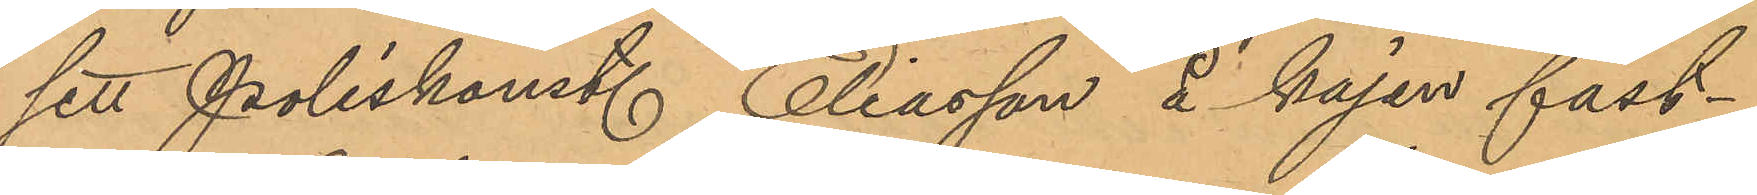sett Poliskonst. Eliasson å kajen fast¬
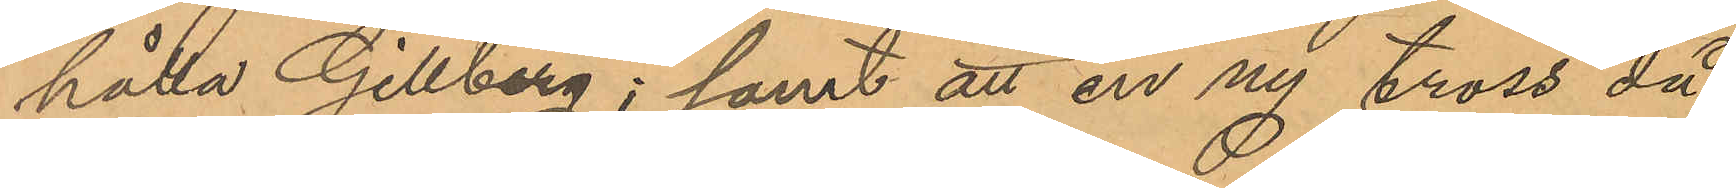hålla Gillberg; samt att en ny tross då
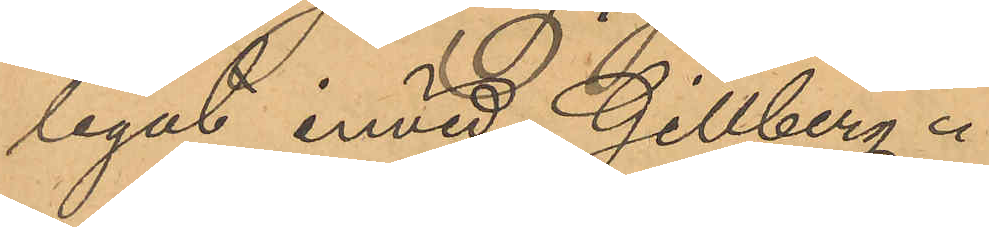legat invid Gillberg.
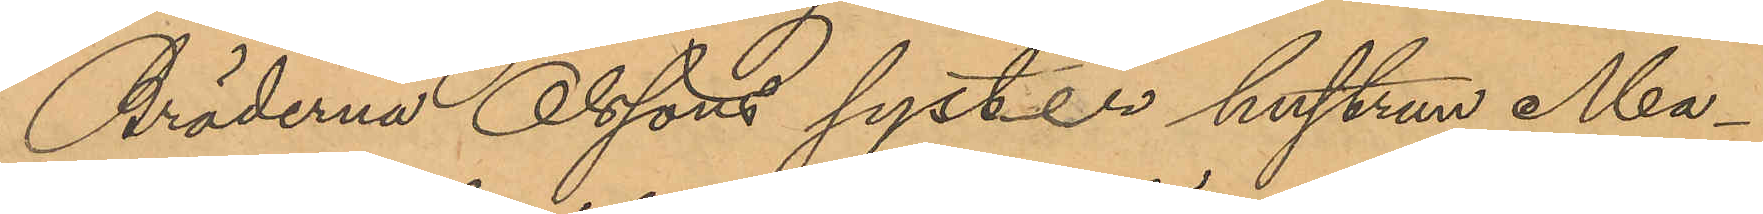Bröderna Olssons syster hustrun Ma¬
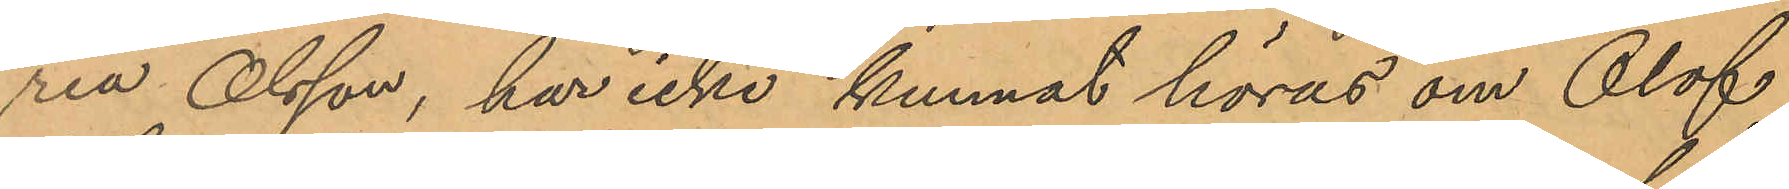ria Olsson, har icke kunnat höras om Olof
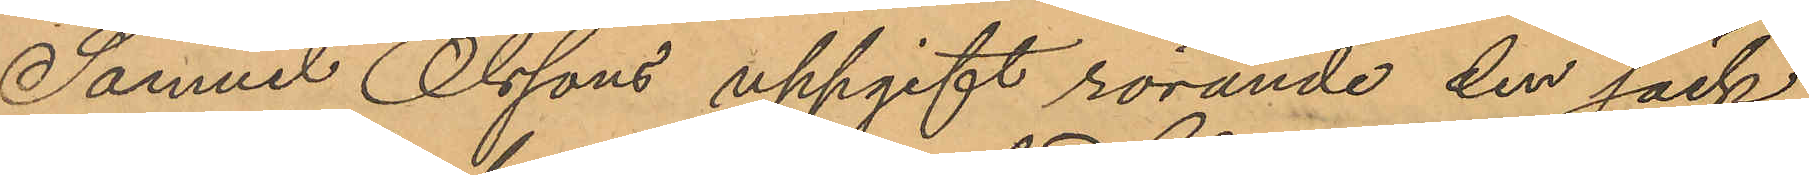Samuel Olssons uppgift rörande den säck
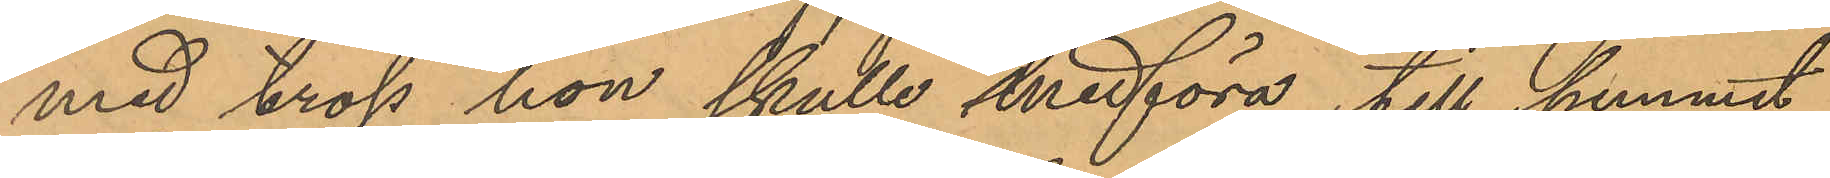med tross hon skulle medföra till hemmet,
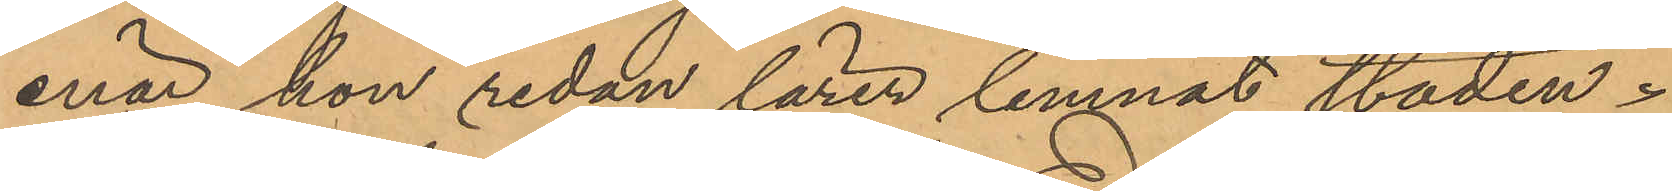enär hon redan lärer lemnat staden.
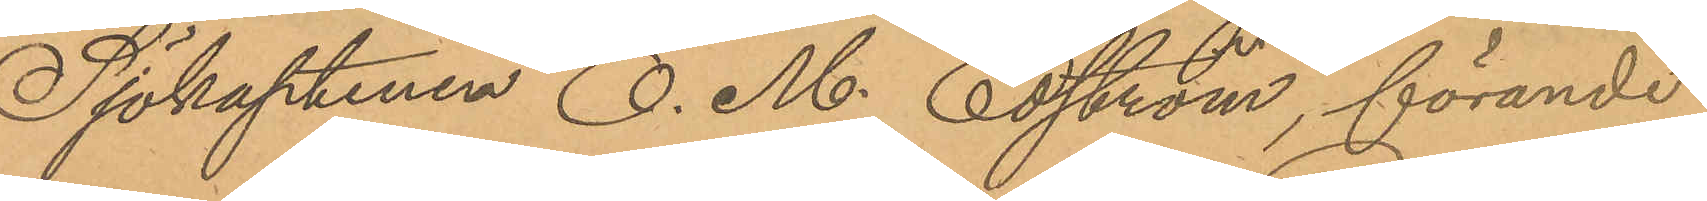Sjökaptenen O. M. Edström, förande
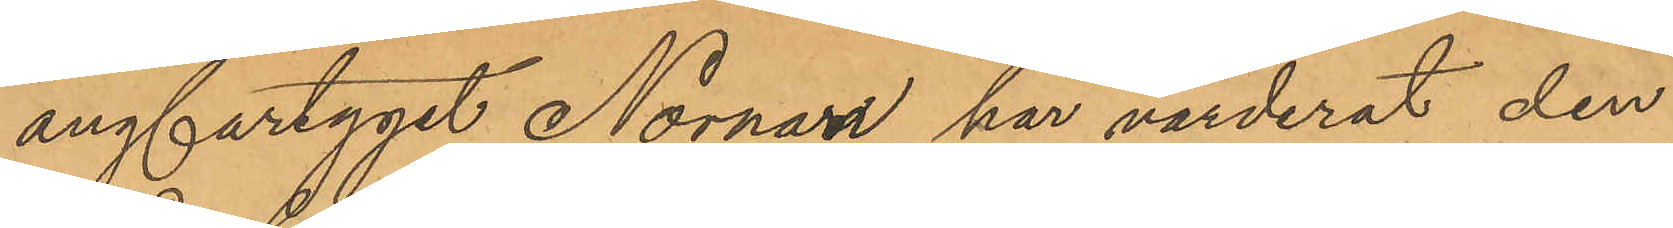ångfartyget Nornan har värderat den
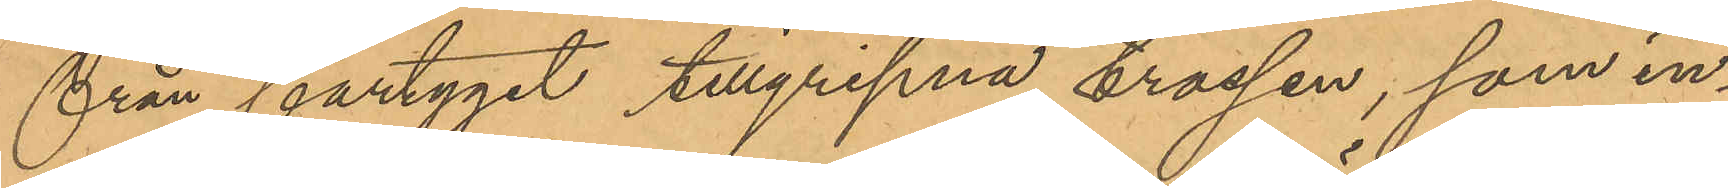från fartyget tillgripna trossen, som in¬
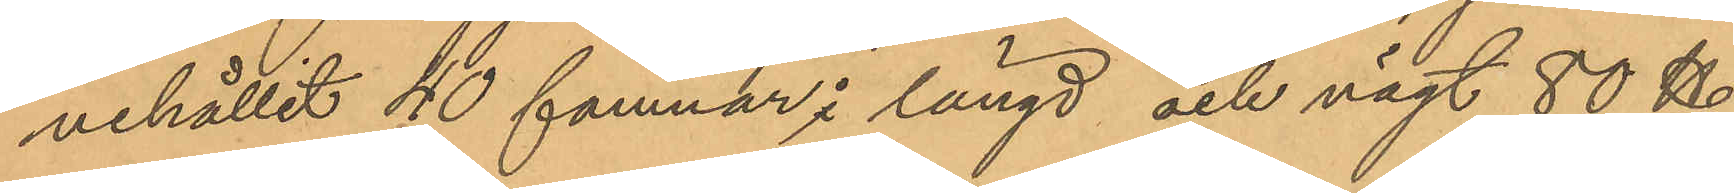nehållit 40 famnar i längd och vägt 80 ℔
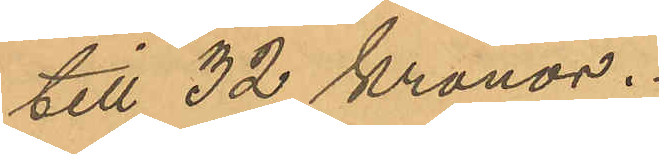till 32 Kronor.
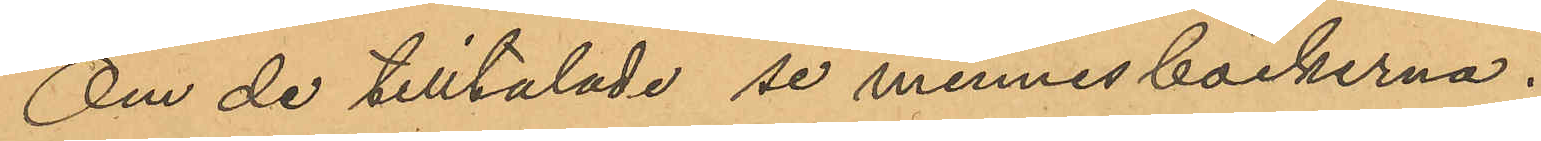Om de tilltalade se minnesböckerna.
